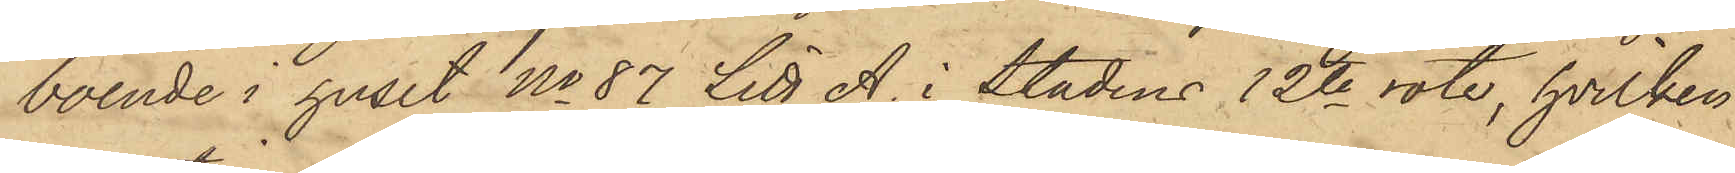boende i huset No 87 Litt A. i Stadens 12te rote, hvilken
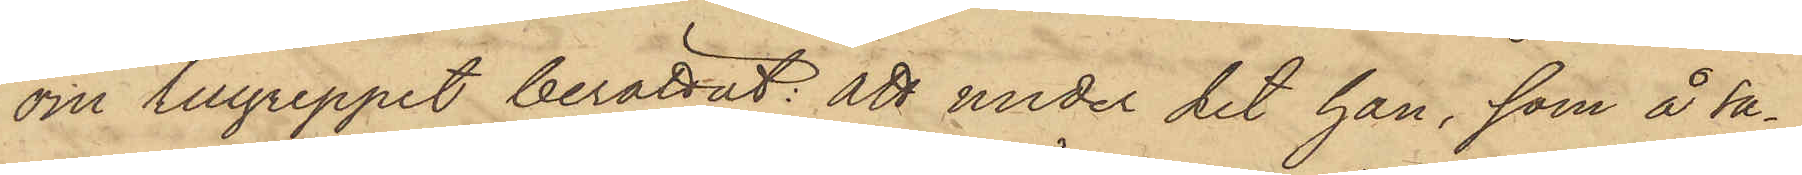om tillgreppet berättat: att under det han, som å Sa¬
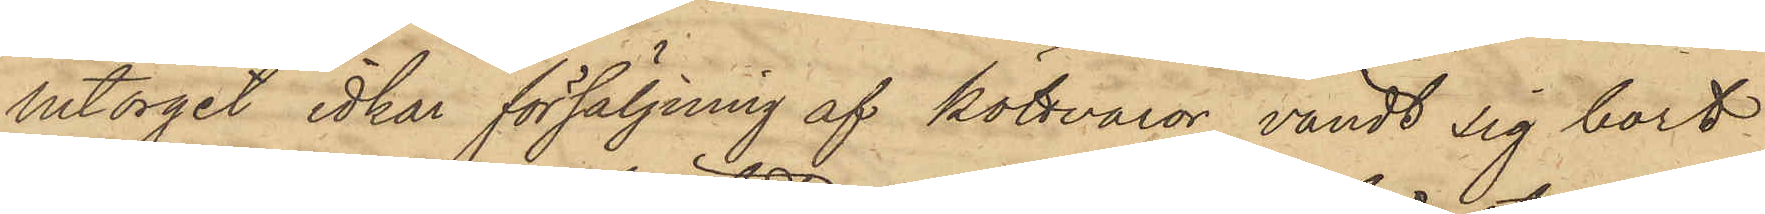lutorget idkar försäljning af köttvaror, vändt sig bort
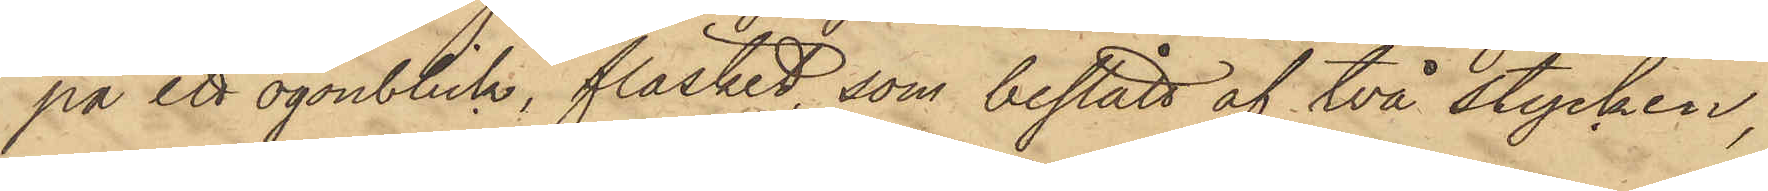på ett ögonblick, fläsket, som bestått af två stycken,
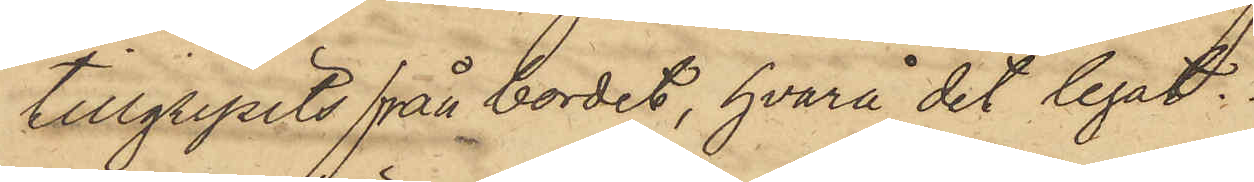tillgripits från bordet, hvarå det legat.
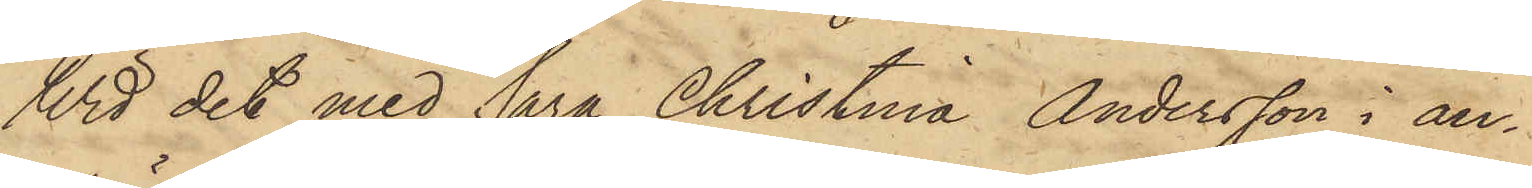Wid det med Sara Christina Andersson i an¬
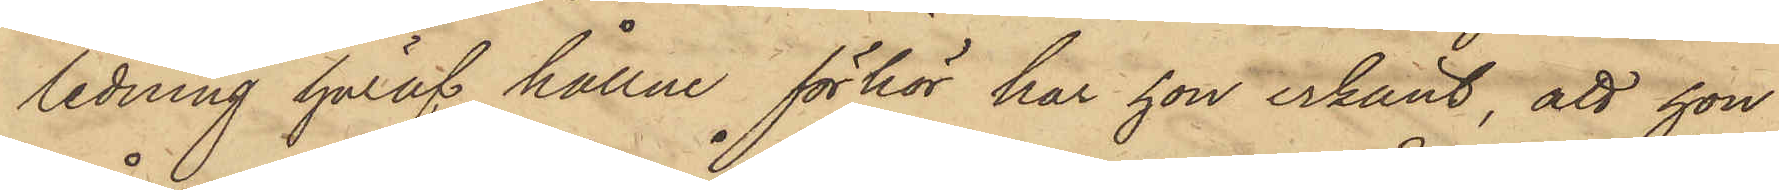ledning häraf hållne förhör har hon erkänt, att hon
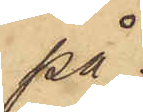på
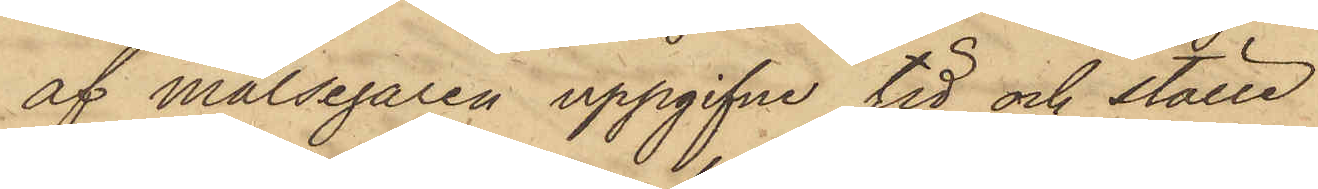af målsegaren uppgifne tid och ställe
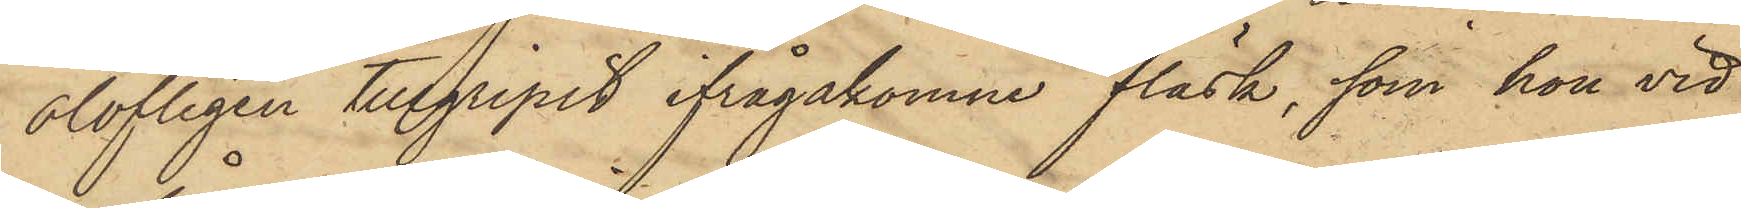olofligen tillgripit ifrågakomne fläsk, som hon vid
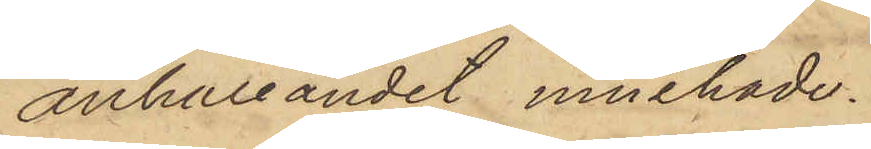anhållandet innehade.
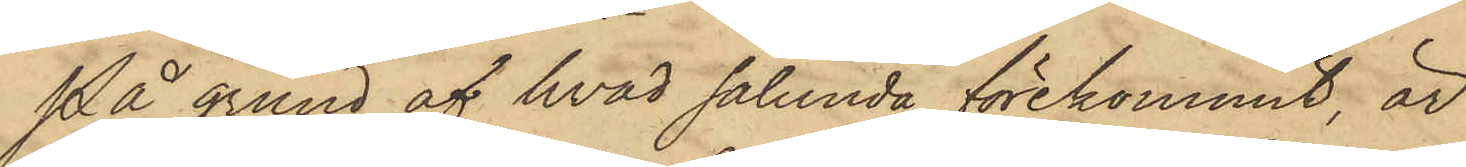På grund af hvad sålunda förekommit, är
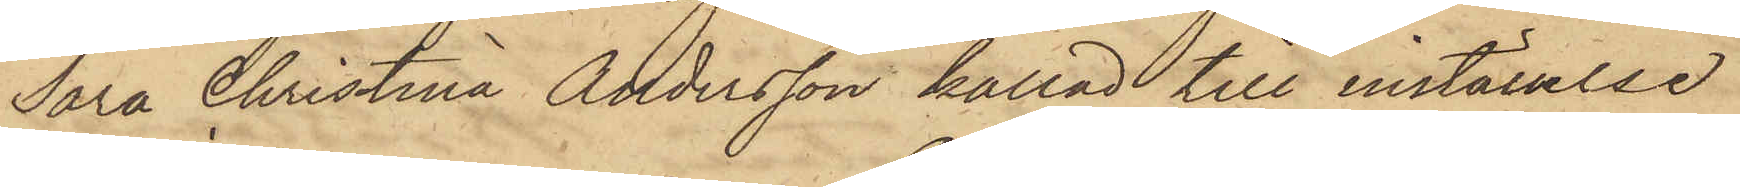Sara Christina Andersson kallad till inställelse
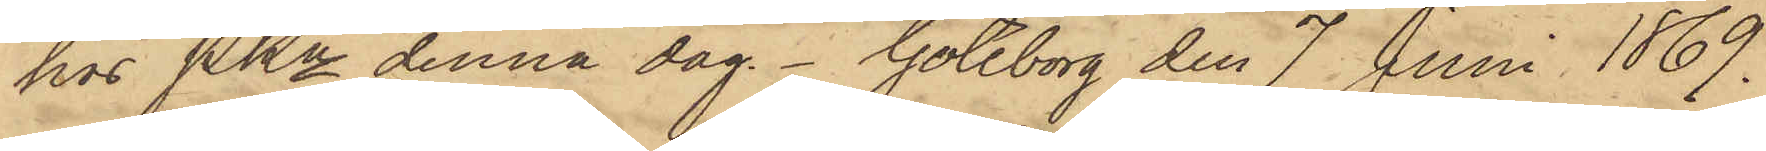hos PKn denna dag. Göteborg den 7 Juni 1869.
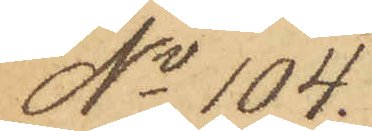No 104.
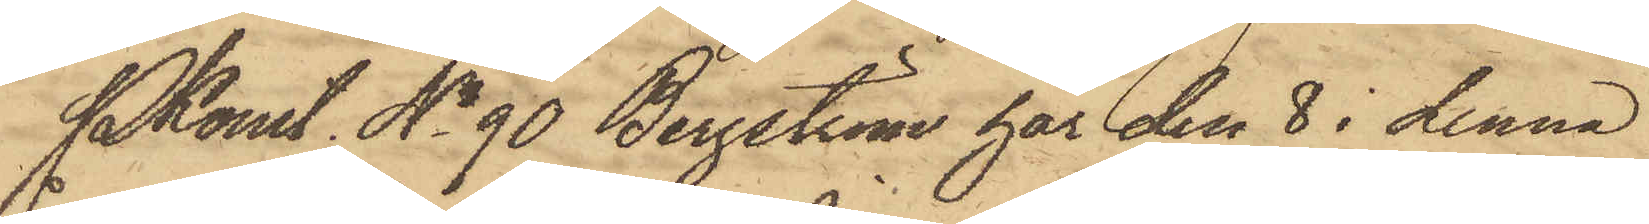Pkonst. No 90 Bergström har den 8 i denna
